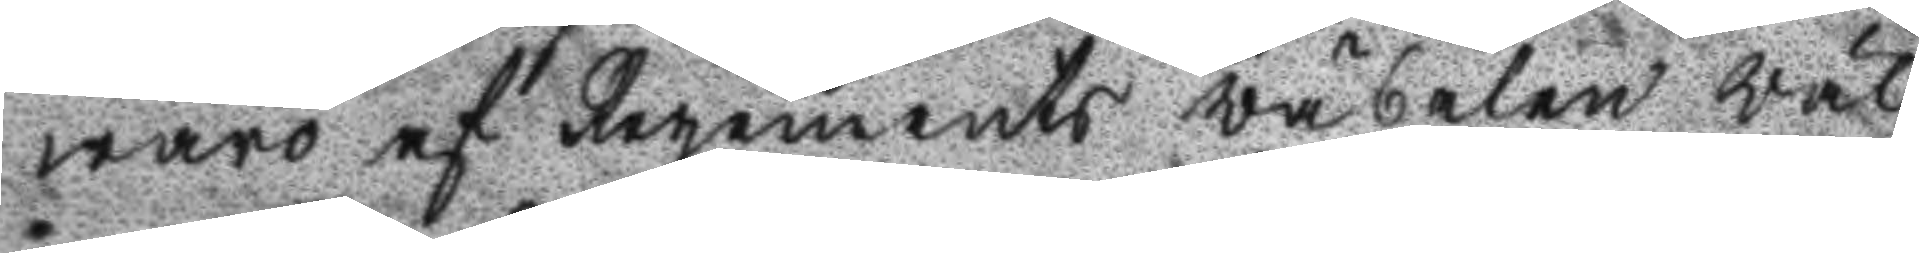waro af regements wäbelen wäl
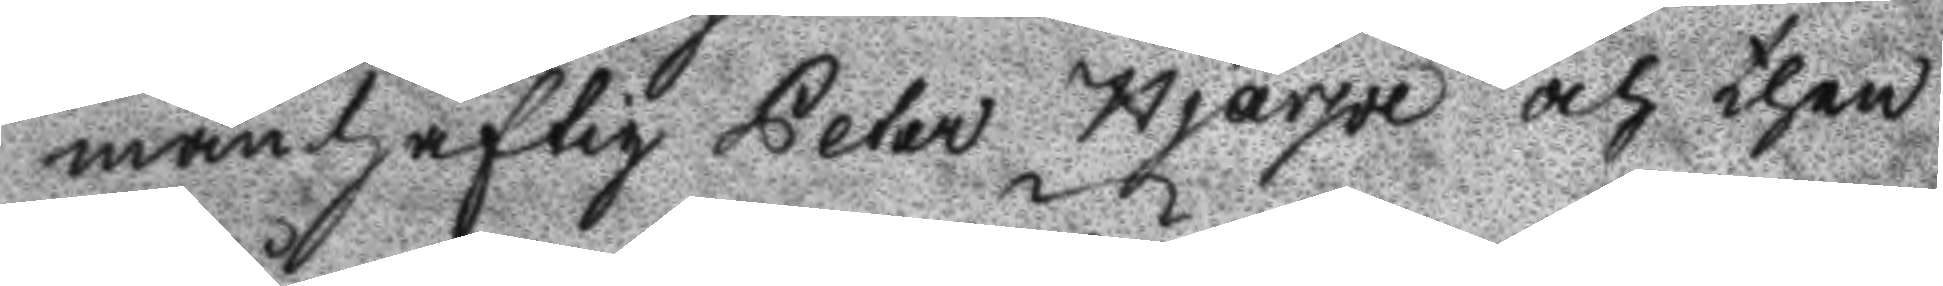manhaftig Peter Hjärpe och then
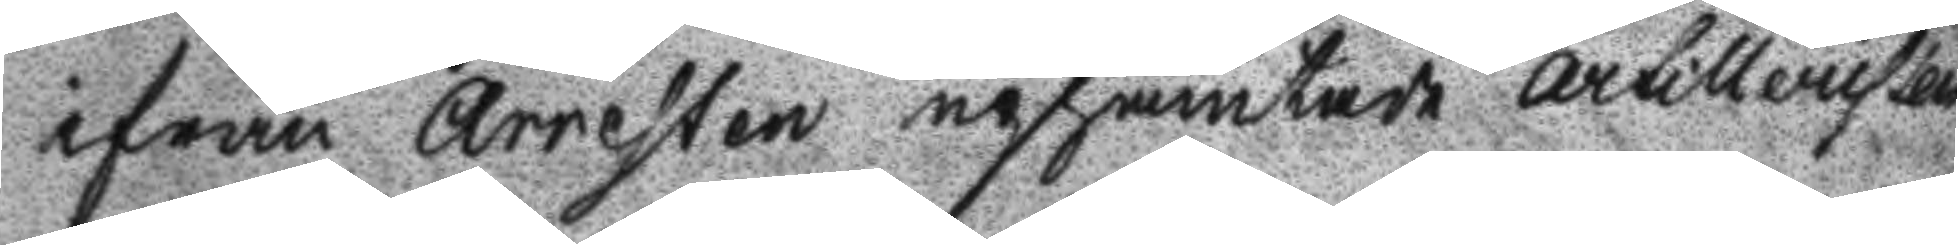ifrån Arresten uphämtade Artilleristen
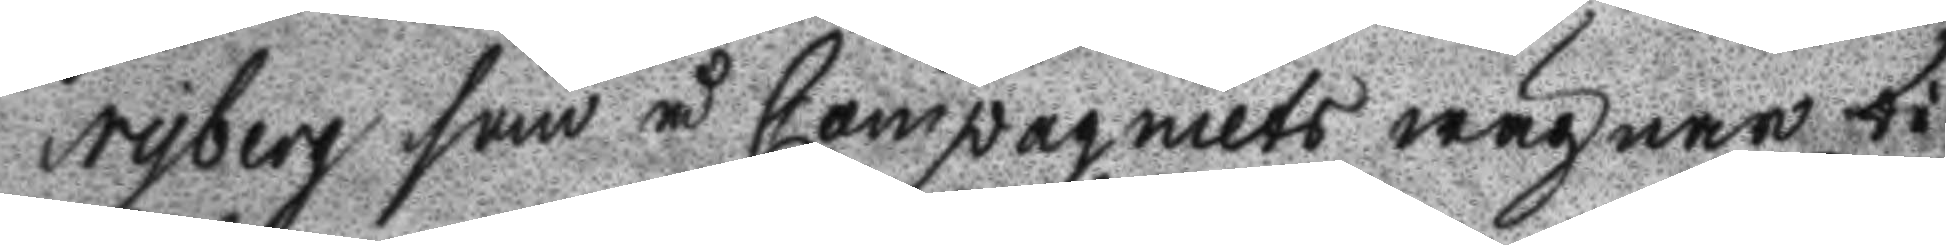Nyberg som å Compagniets wägnar bi
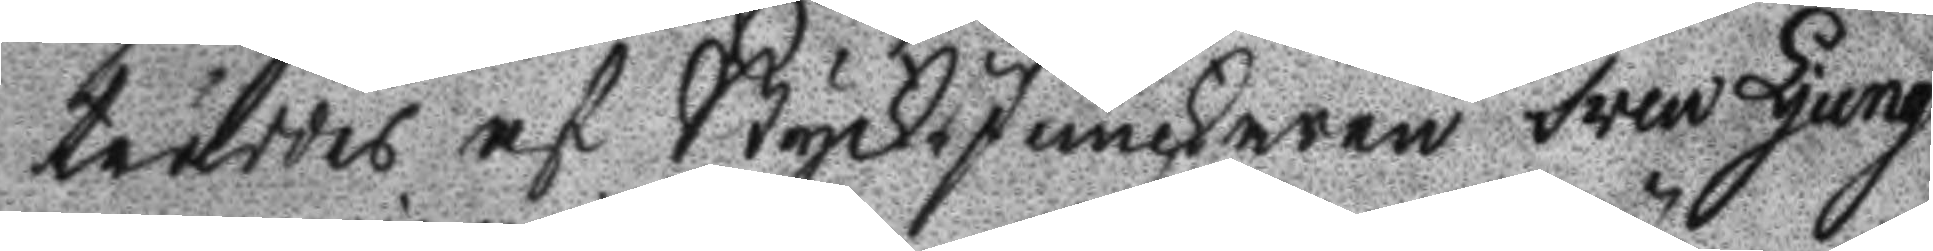träddes af StyckJunckaren Swen Ljung
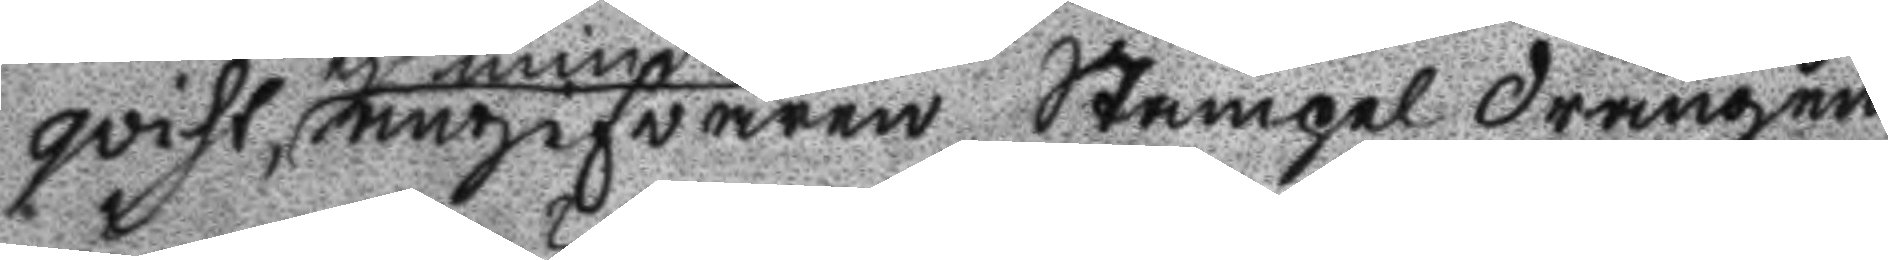gvist, ej mindre angifvaren Stämpel drängen
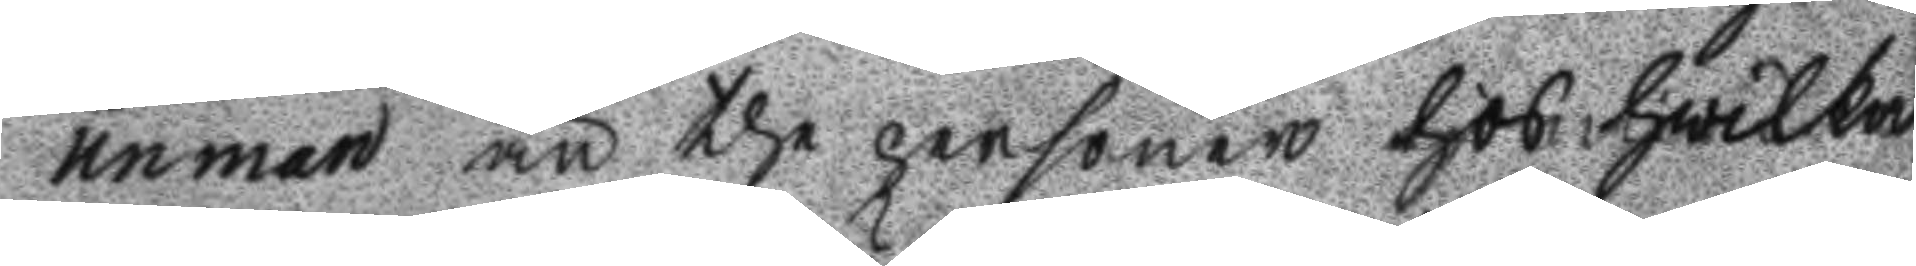unman än the personer hos hwilka
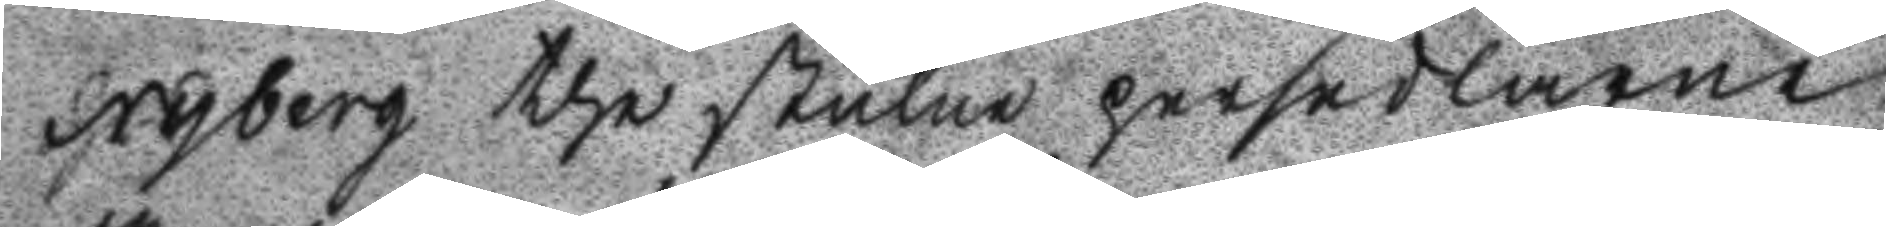Nyberg the stulne persedlarne
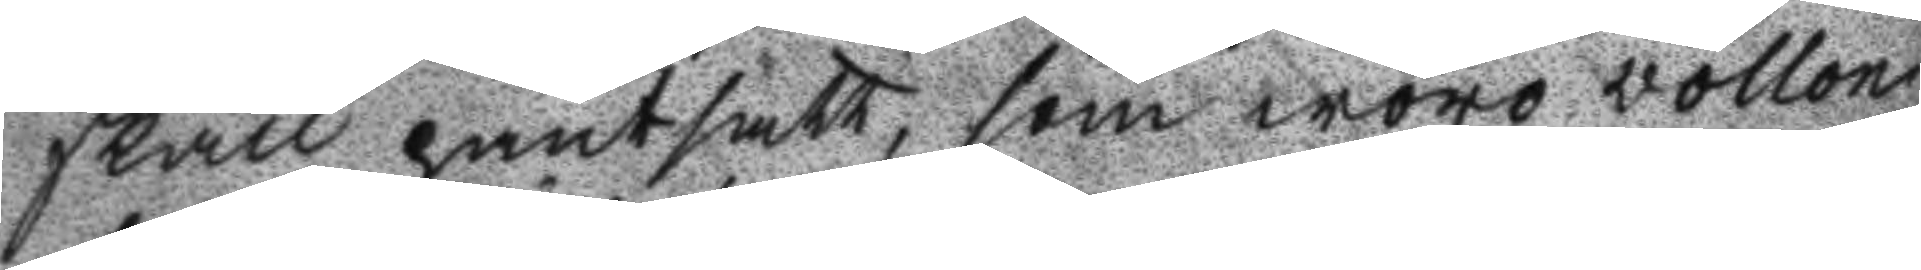skall pantsatt, som woro vollon
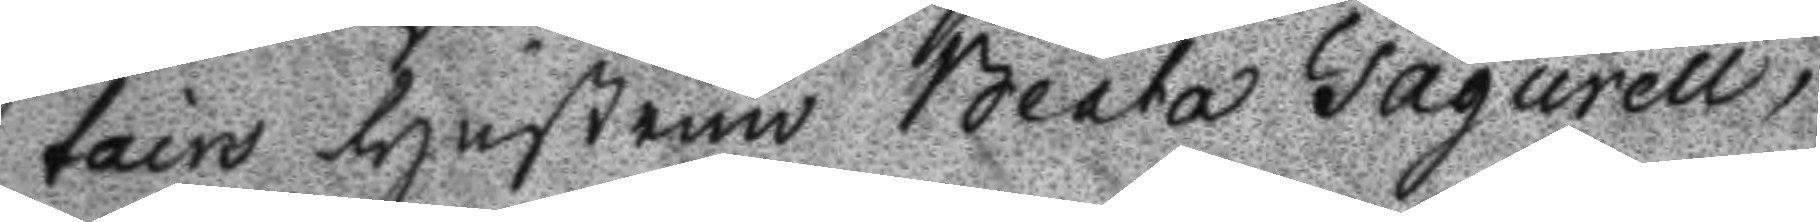tairs Hustrun Beata Fagurell,
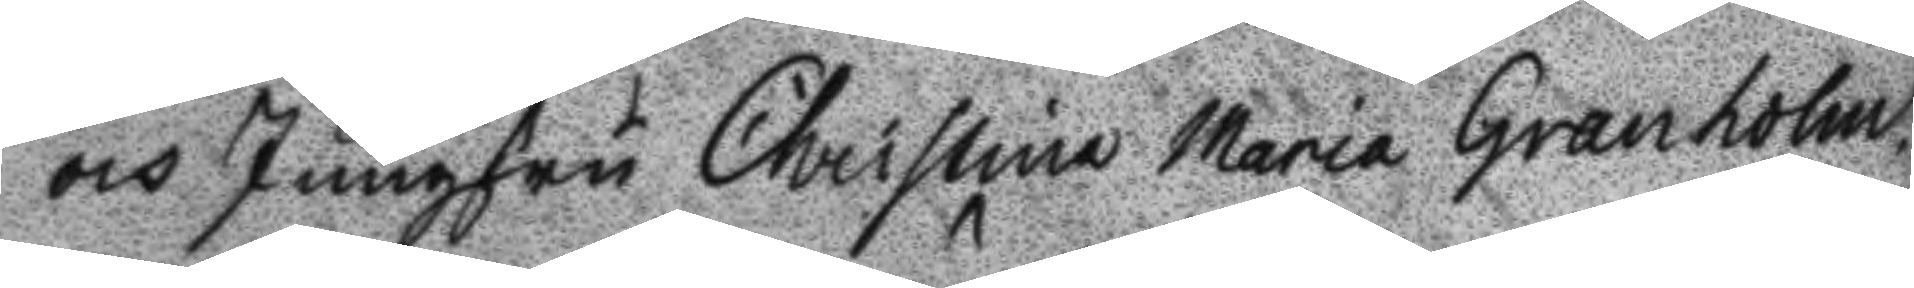och Jungfru Christina Maria Granholm
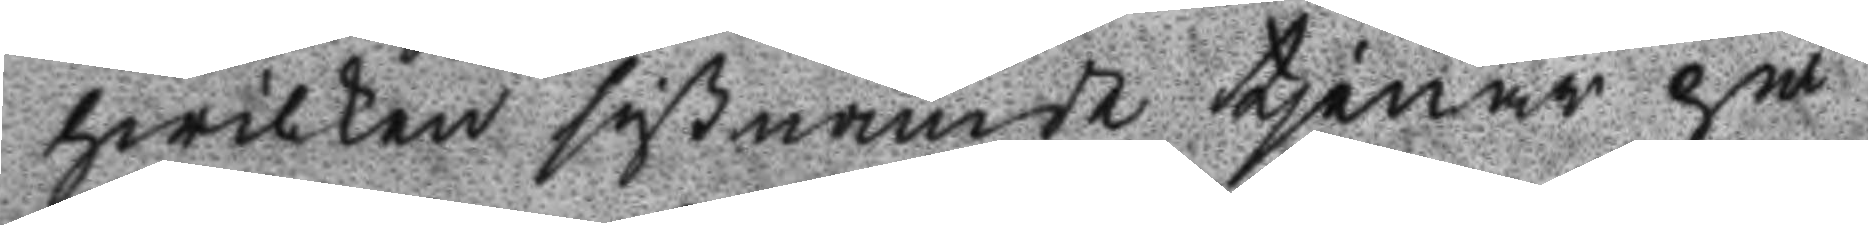hwilken sistnämde tjenar på
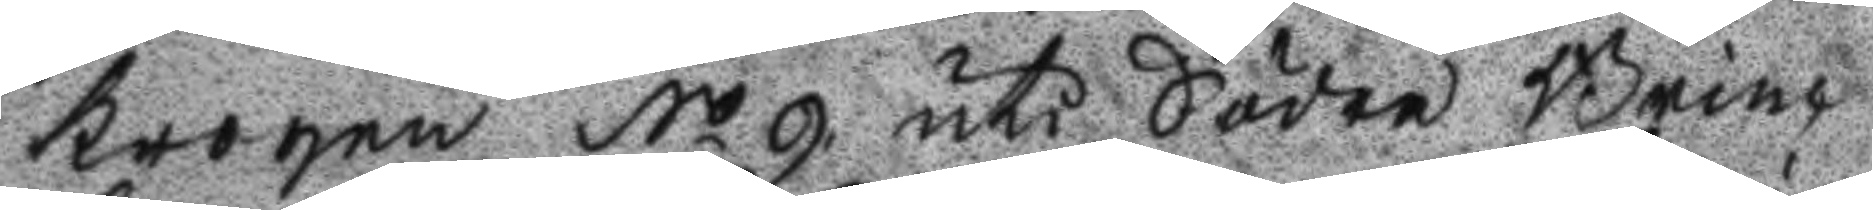krogen No 9 uti Södra Brinc
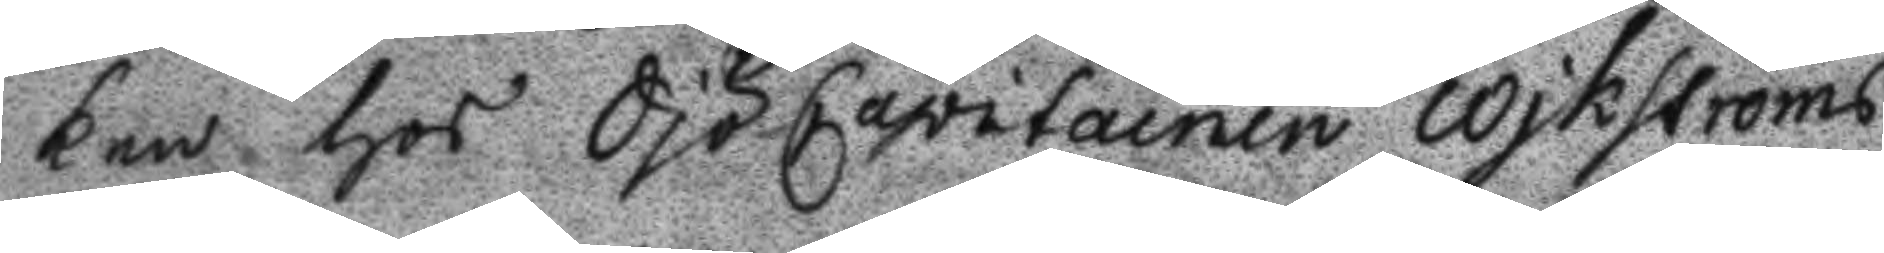ken hos SjöCapitainen Wikströms
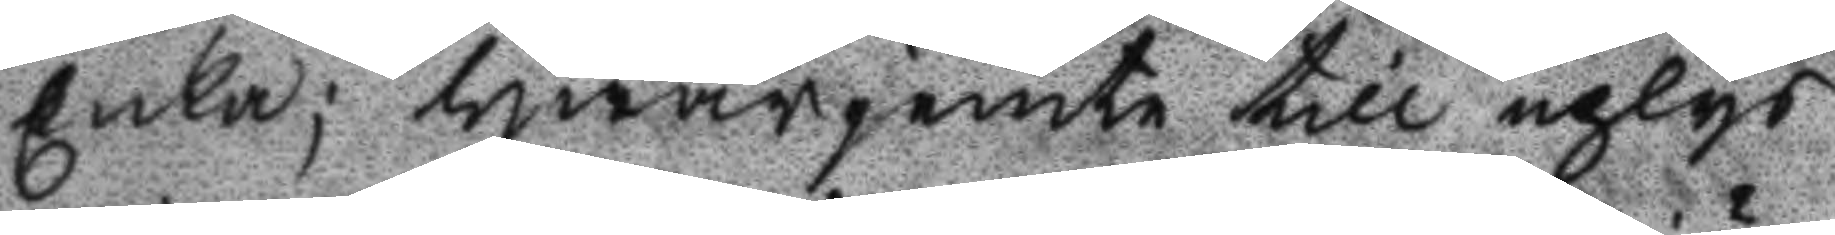Enka; hwarjemte till uplys
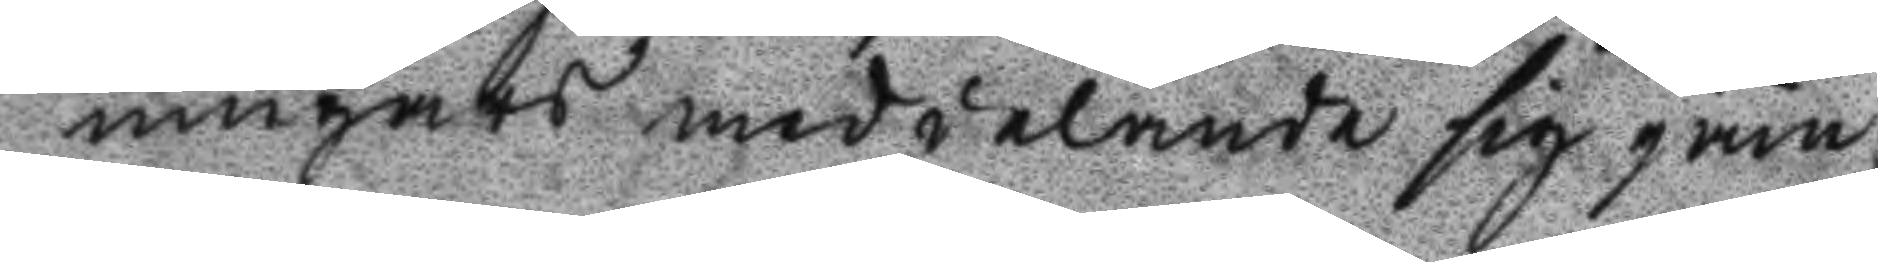ningars meddelande sig jäm
